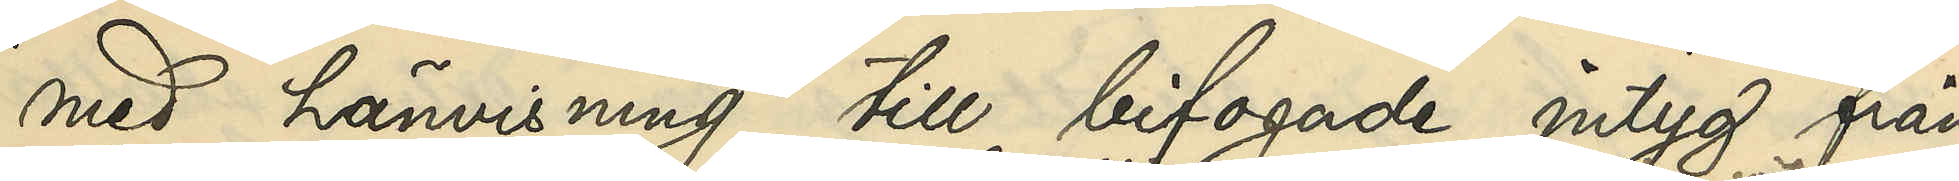med hänvisning till bifogade intyg från
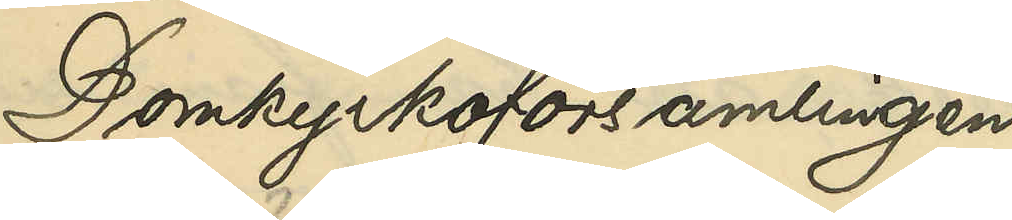Domkyrkoförsamlingens
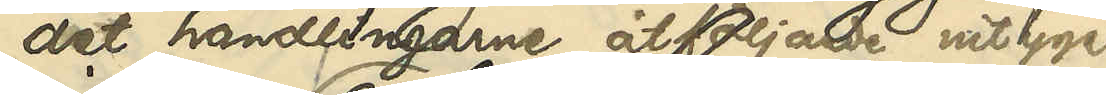det handlingarne åtföljde intyget
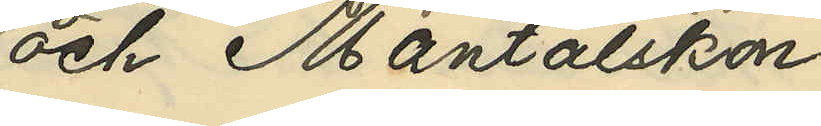och Mantalskon¬
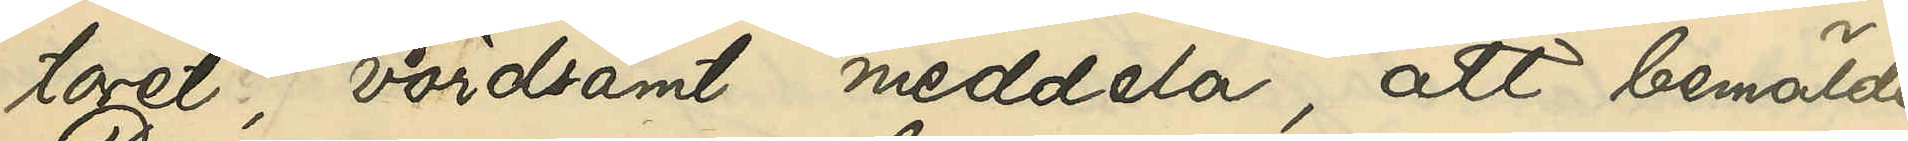toret, vördsamt meddela, att bemälde
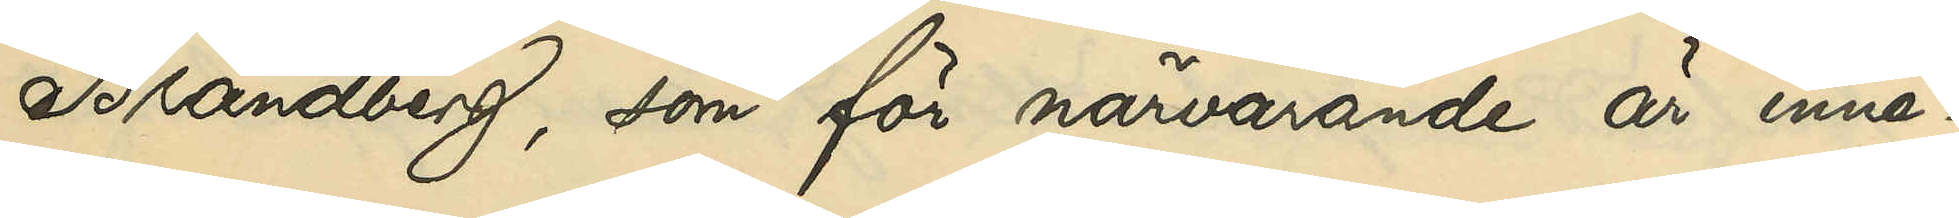Brandberg, som för närvarande är inne¬
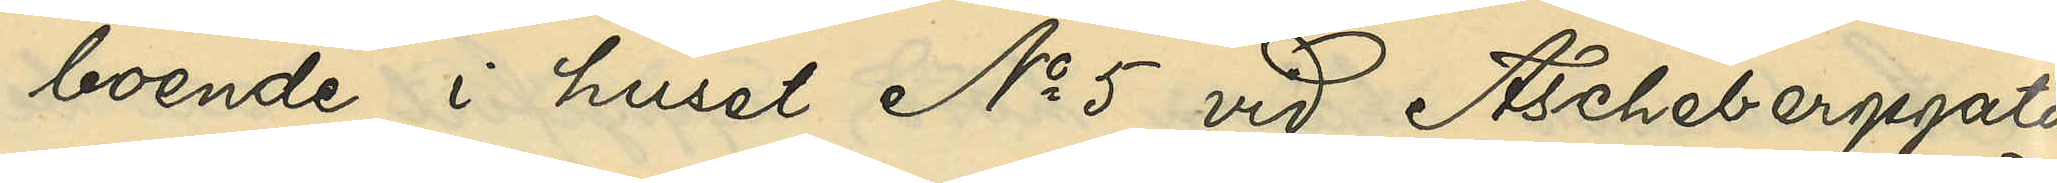boende i huset No 5 vid Aschebergsgatan
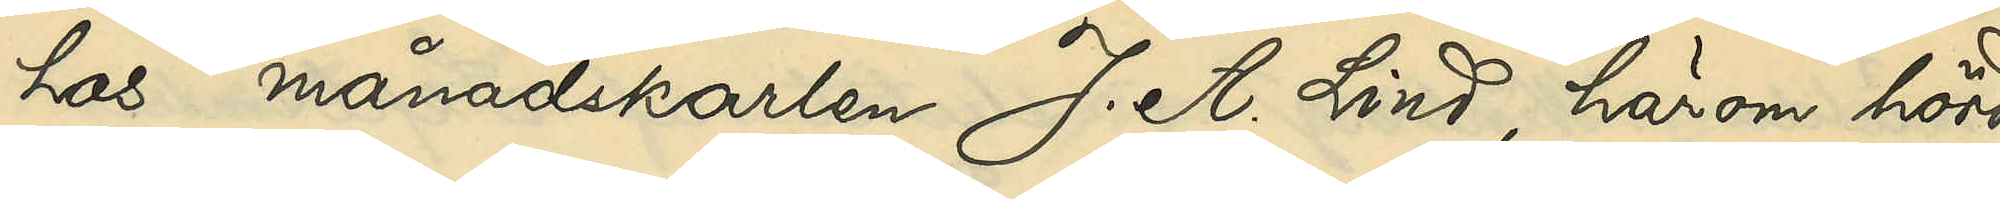hos månadskarlen J. A. Lind, härom hörd,
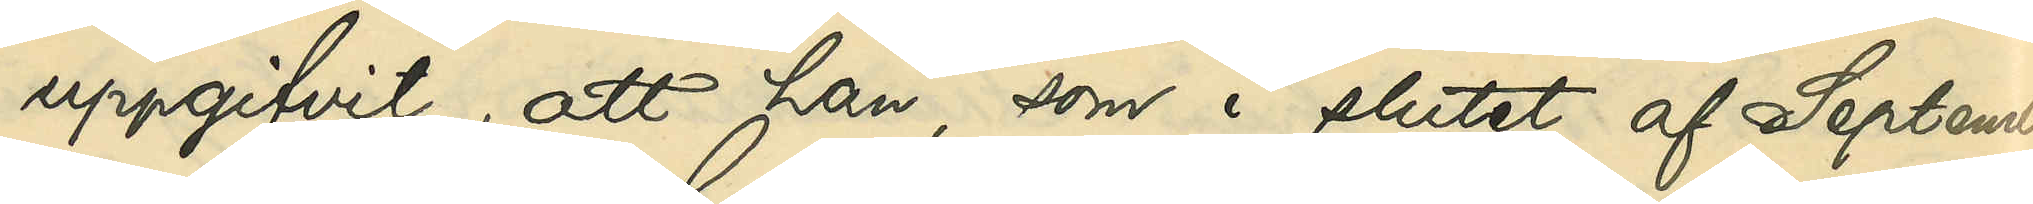uppgifvit, att han, som i slutet af September
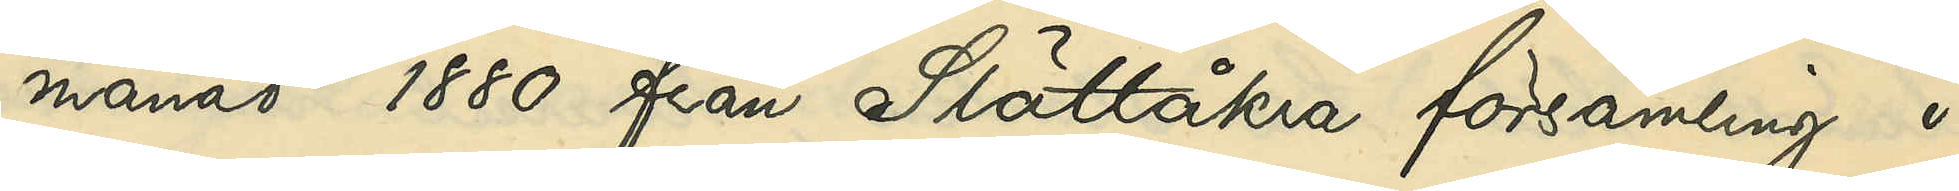månad 1880 från Slättåkra församling i
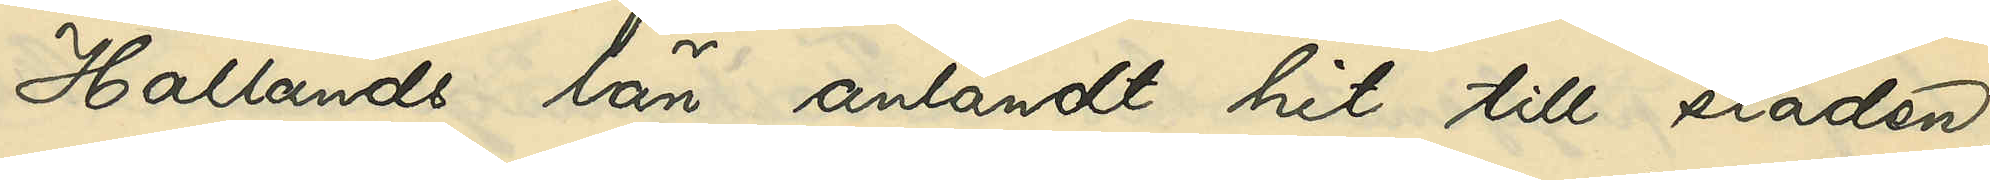Hallands län anländt hit till staden,
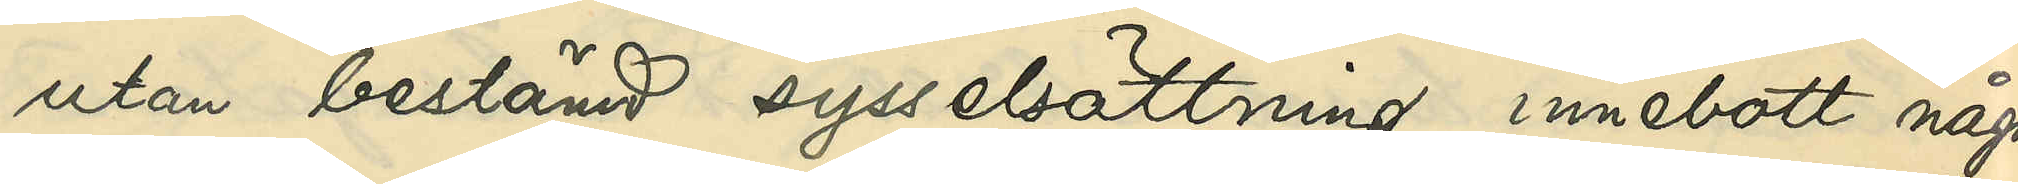utan bestämd sysselsättning innebott några
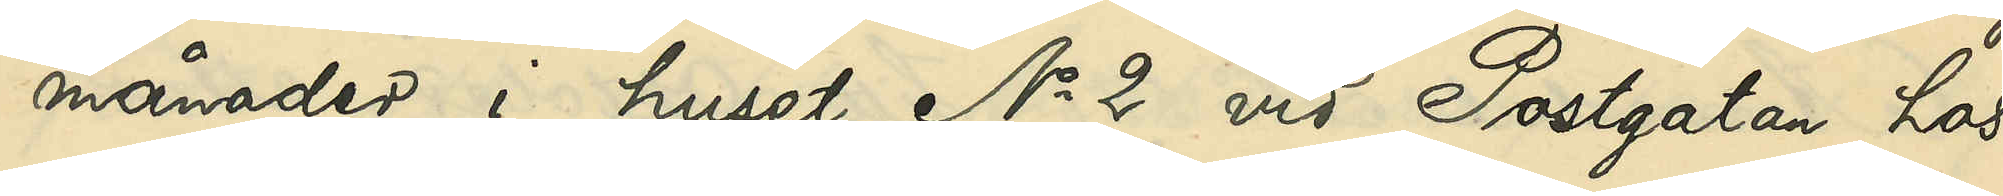månader i huset No 2 vid Postgatan hos
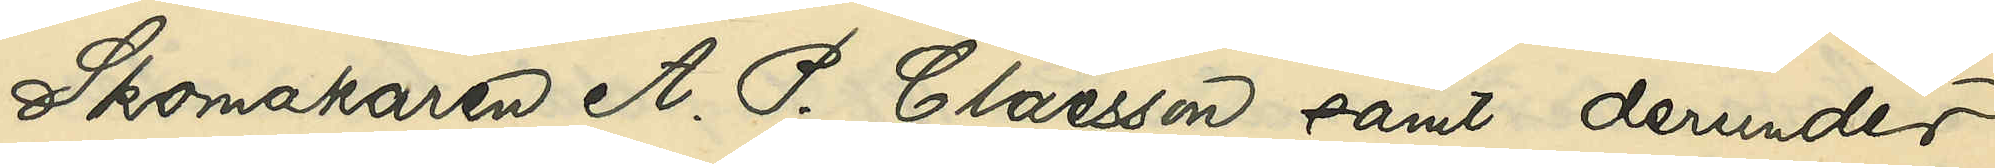Skomakaren A.P. Claesson samt derunder
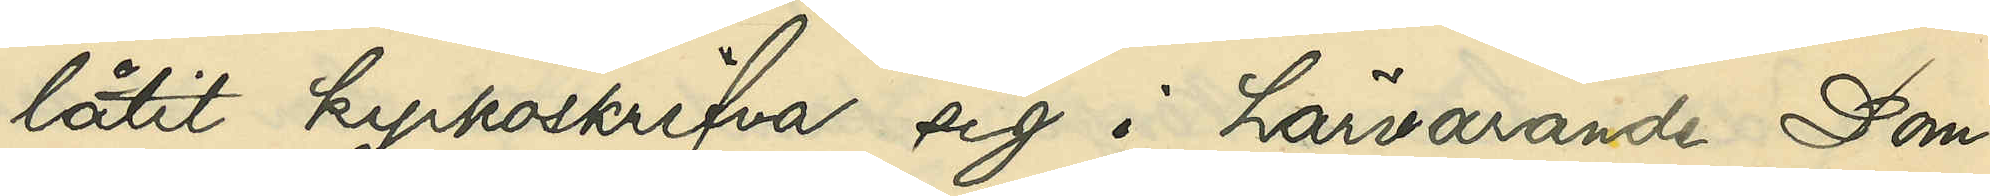låtit kyrkoskrifva sig i härvarande Dom¬
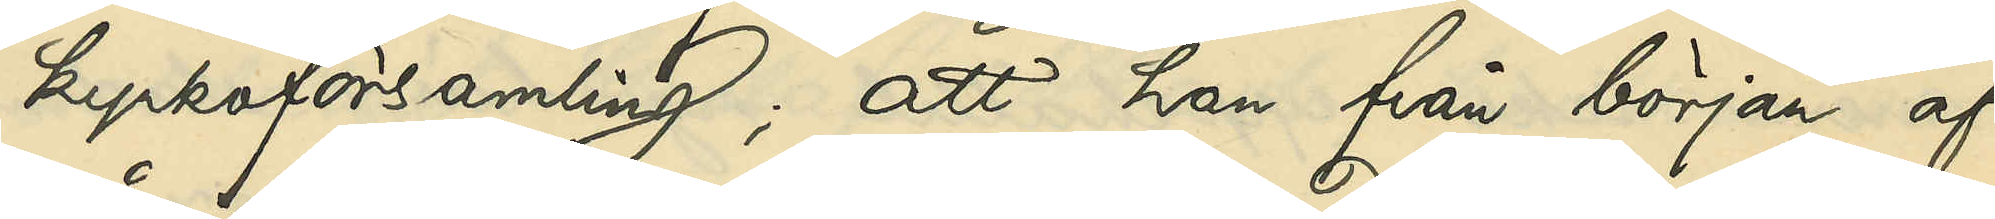kyrkoförsamling; att han från början af
